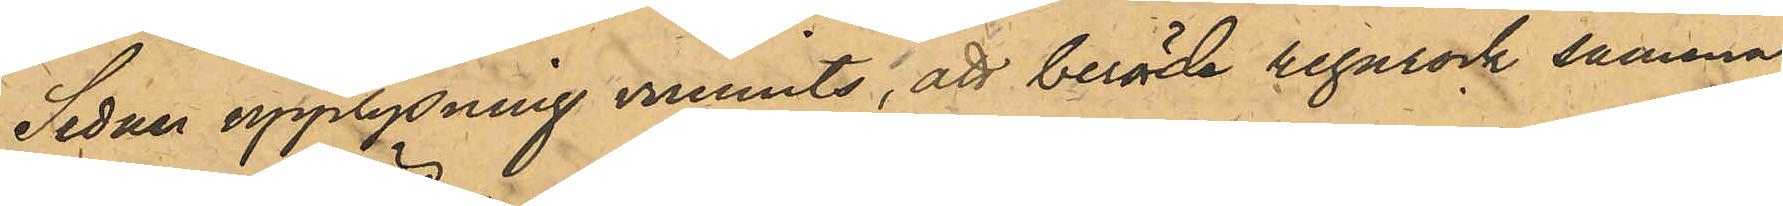Sedan upplysning vunnits, att berörde regnrock samma
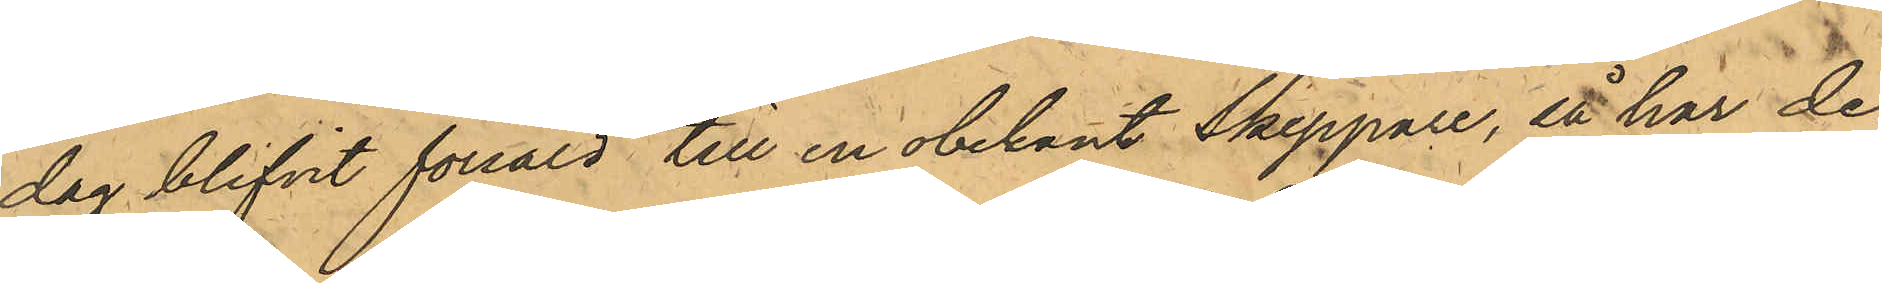dag blifvit försåld till en obekant Skeppare, så har De¬
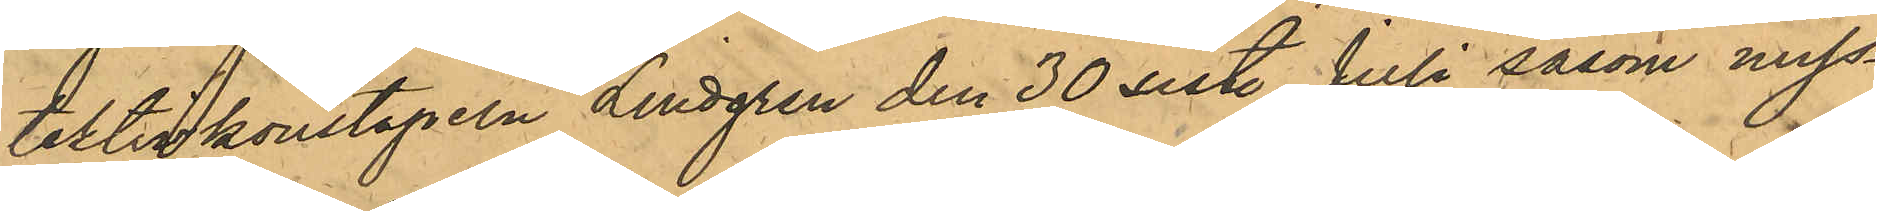tektivkonstapeln Lindgren den 30 sist. Juli såsom miss¬
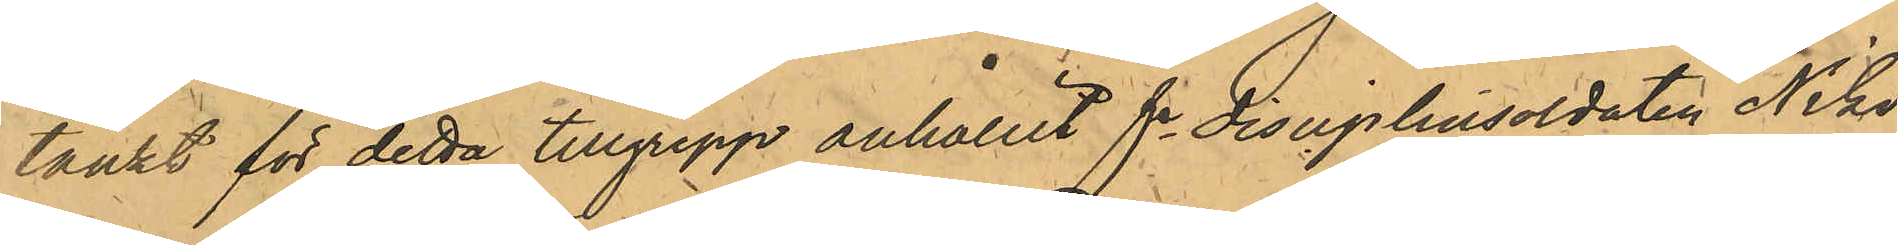tänkt för detta tillgrepp anhållit fe disciplinsoldaten Niko¬
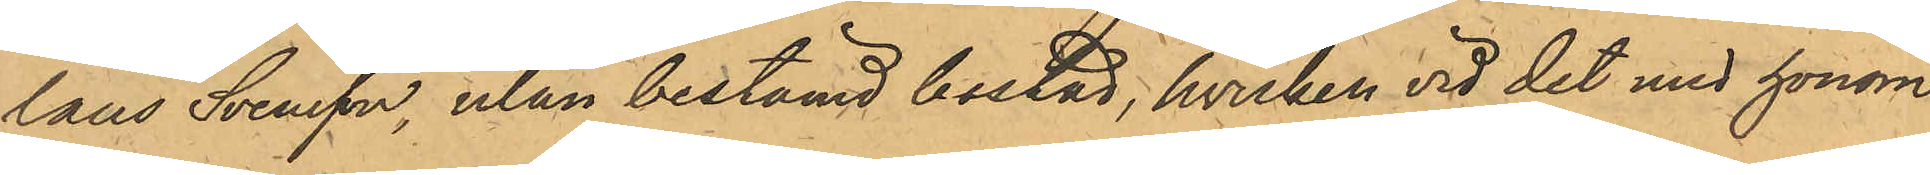laus Svensson, utan bestämd bostad, hvilken vid det med honom
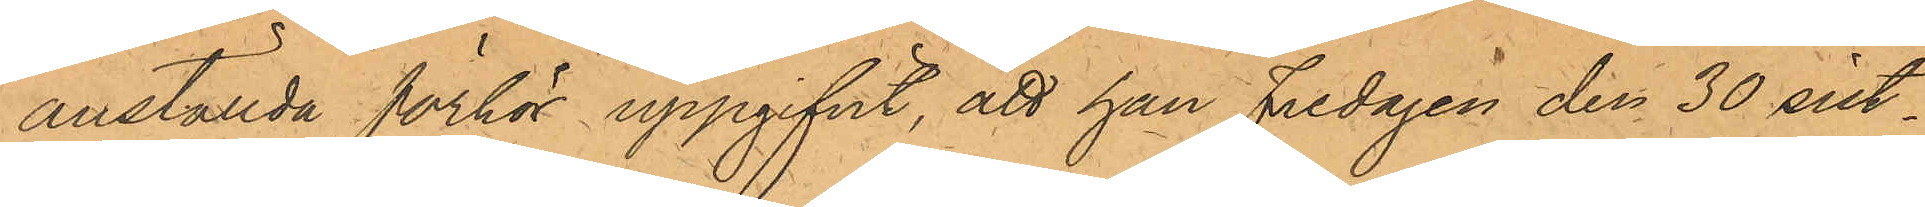anställda förhör uppgifvit, att han Fredagen den 30 sist¬
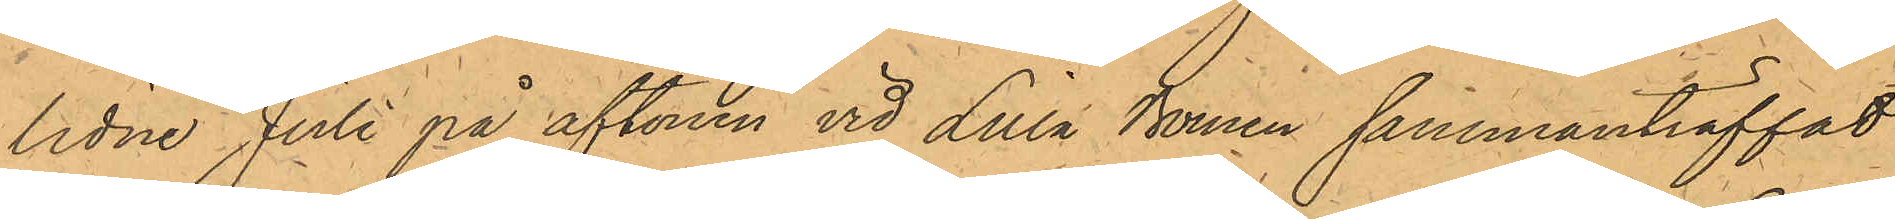lidne Juli på aftonen vid Lilla Bomen sammanträffat
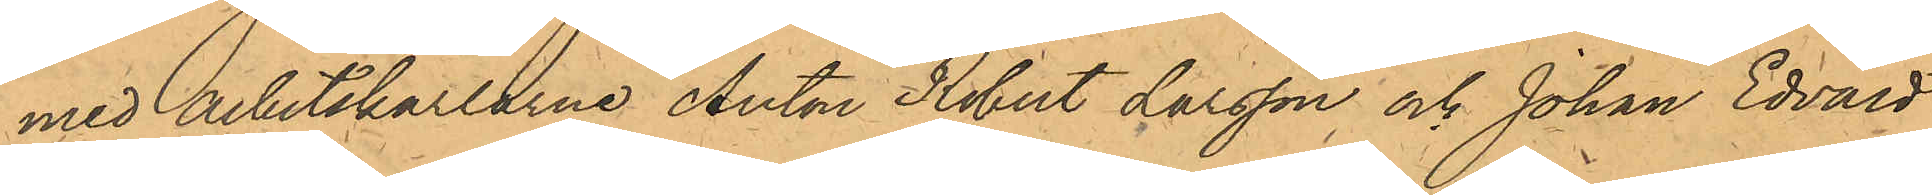med Arbetskarlarne Anton Robert Larsson, och Johan Edvard
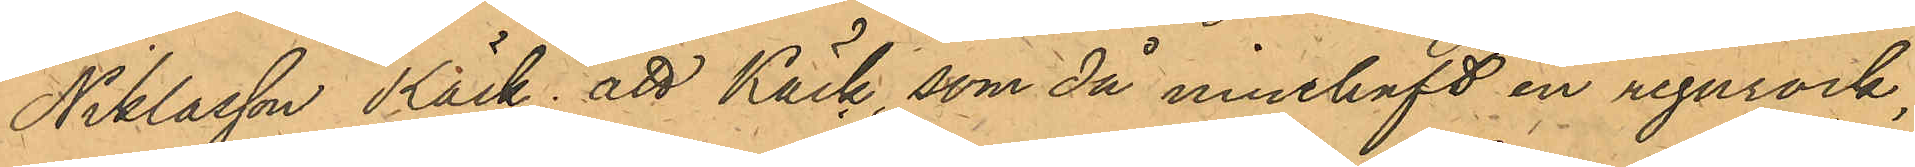Niklasson Käck; att Käck, som då innehaft en regnrock,
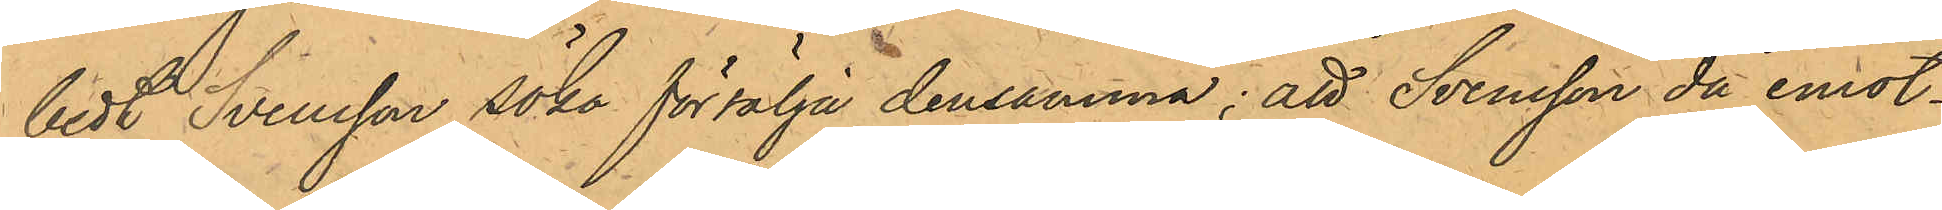bedt Svensson söka försälja densamma; att Svensson då emot¬
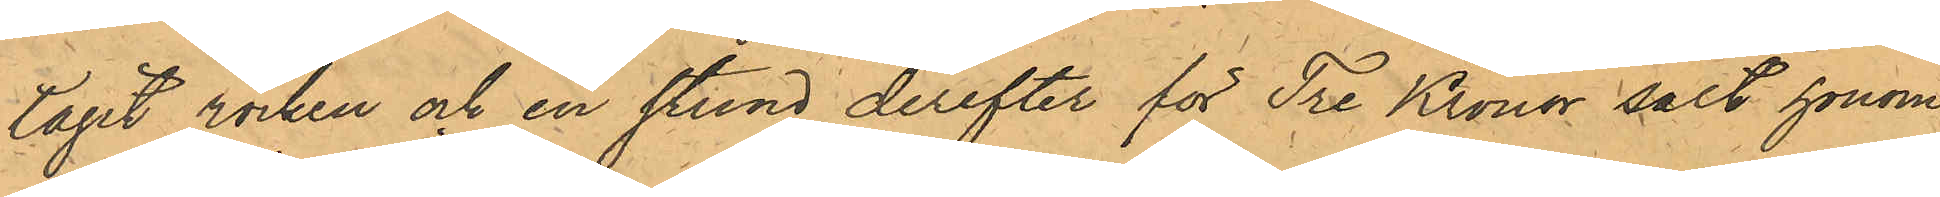tagit rocken och en stund derefter för Tre Kronor sålt honom
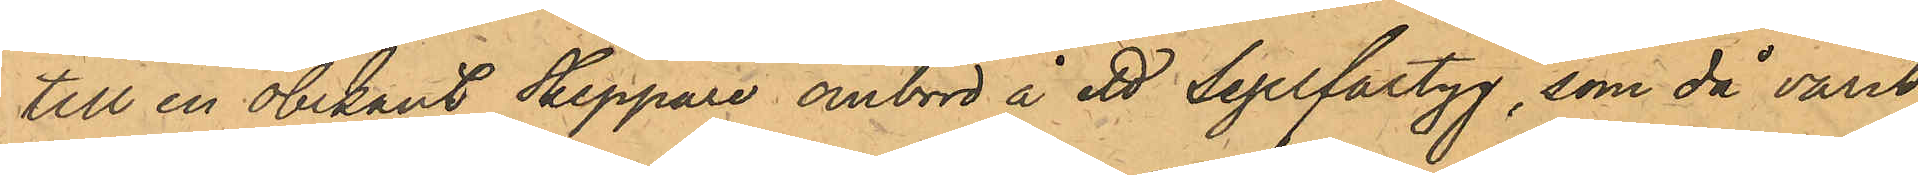till en obekant Skeppare ombord å ett Segelfartyg, som då varit
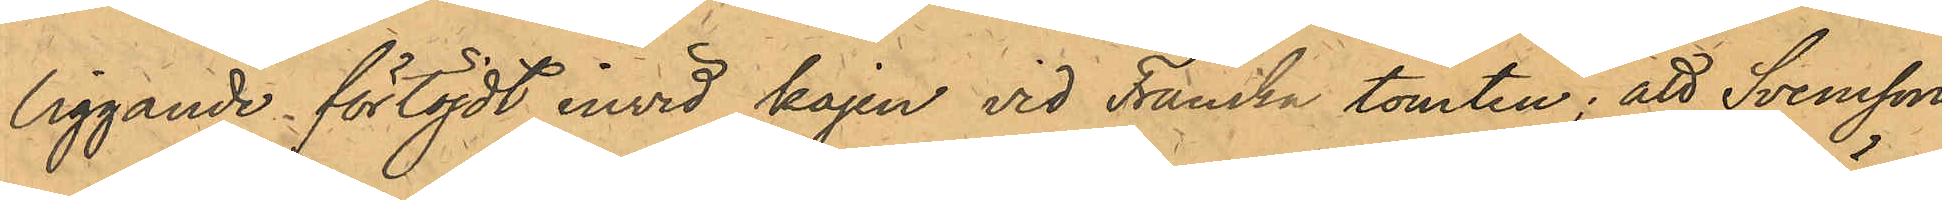liggande förtöjdt invid kajen vid Franska tomten; att Svensson
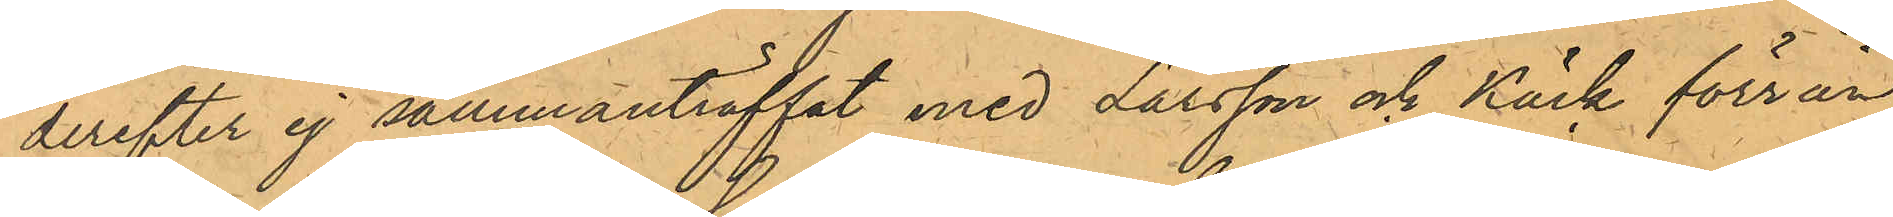derefter ej sammanträffat med Larsson och Käck förrän
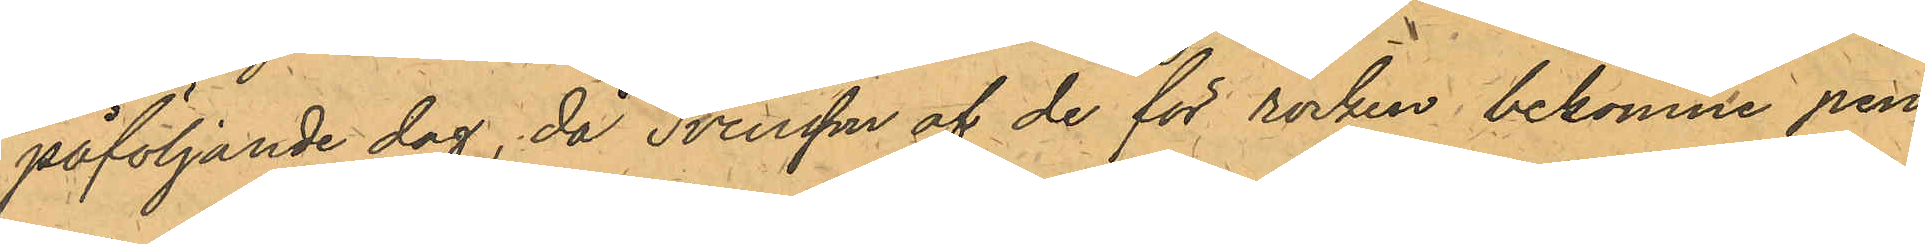påföljande dag, då Svensson af de för rocken bekomne pen¬
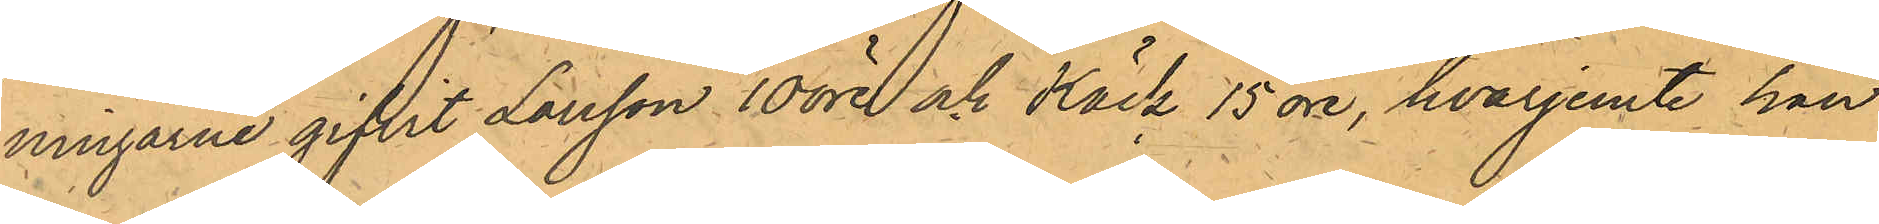ningarne gifvit Larsson 10 öre och Käck 15 öre, hvarjemte han
